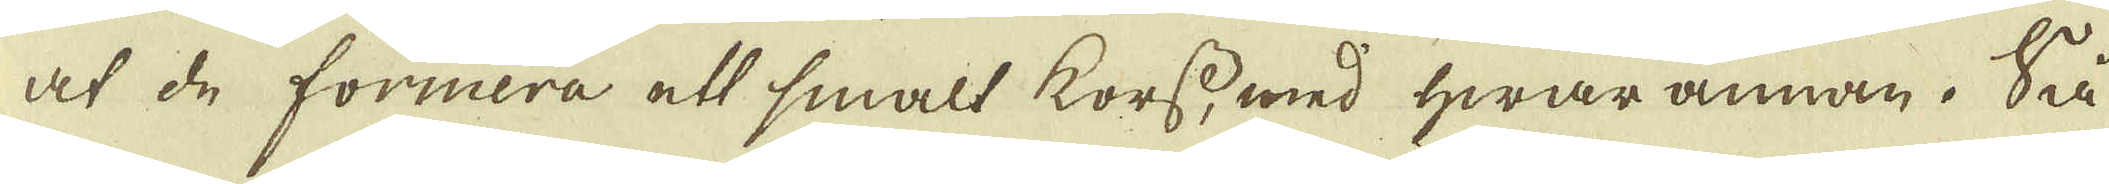at de formera ett smalt korss, med hwar annan. Så
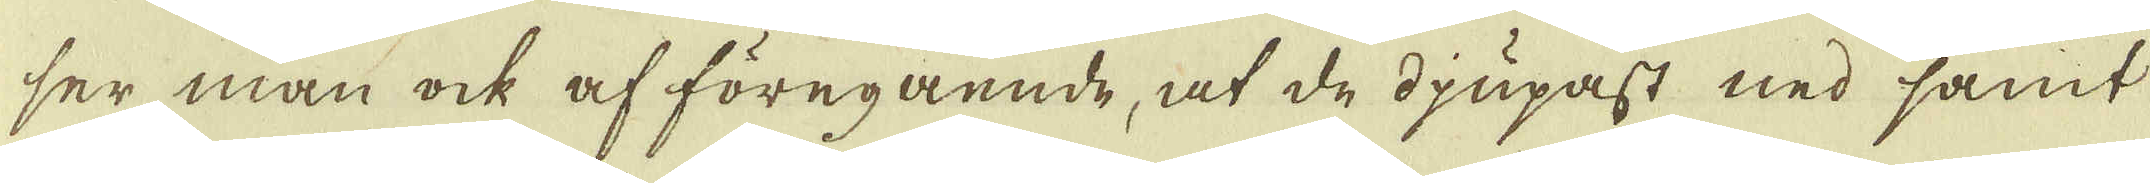ser man ock af föregående, at de djupast ned samt
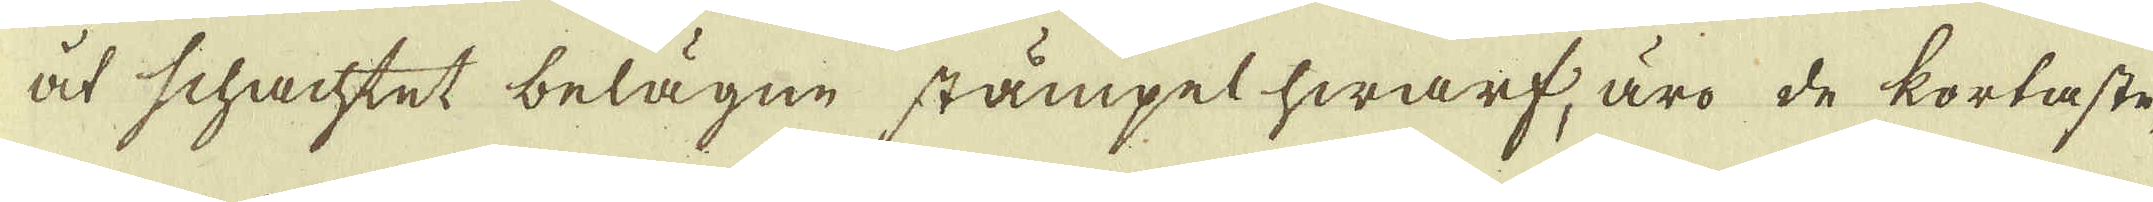åt schachtet belägne stämpel hwarf, äro de kortaste,
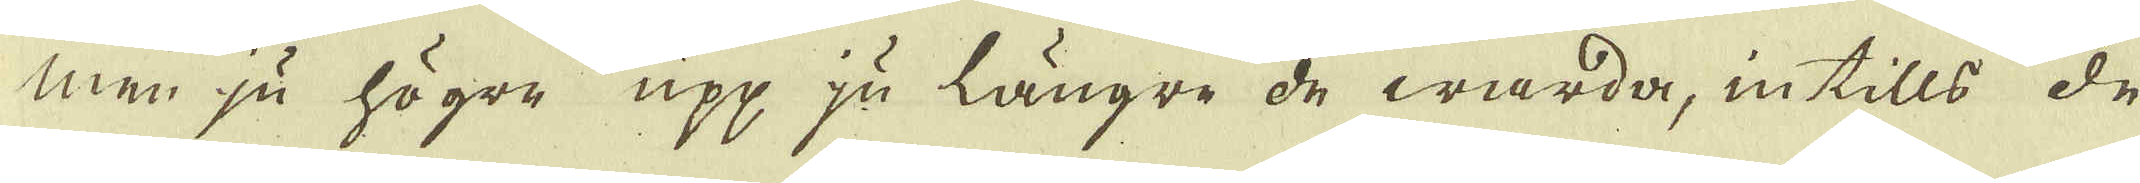men ju högre upp ju längre de warda, intills de
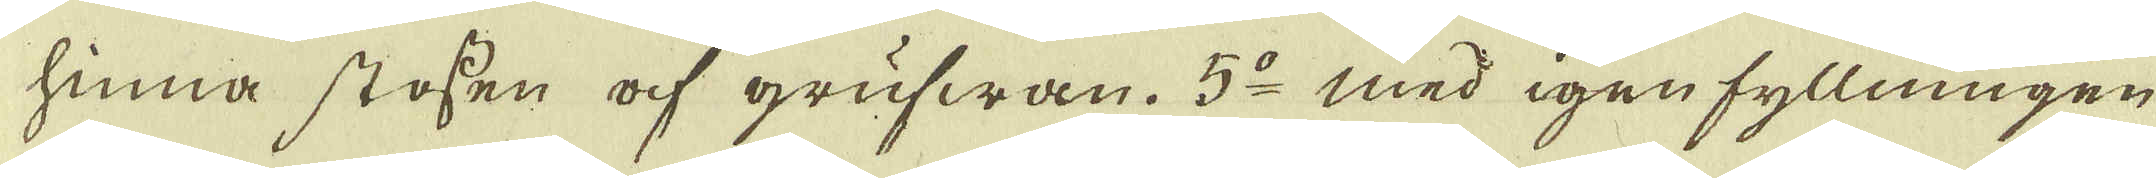hinna stossen af grufwan. 5:o med igenfyllningen
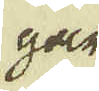gar
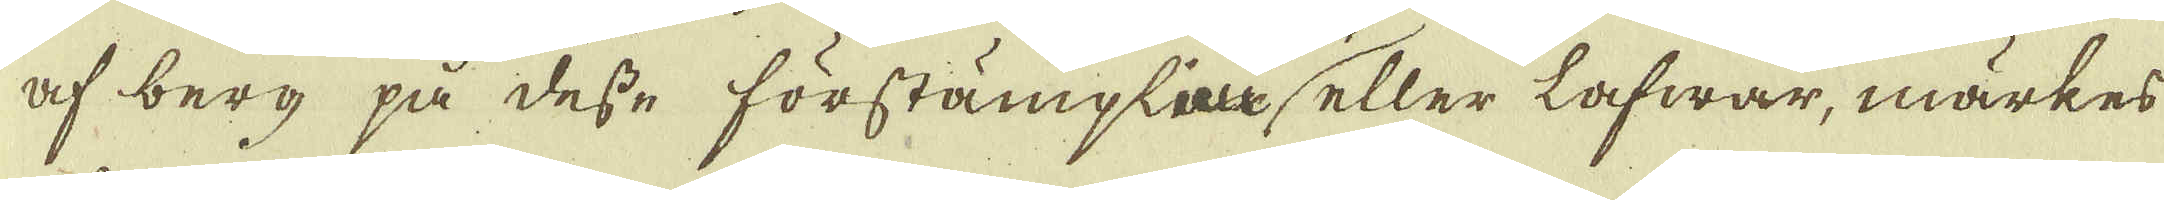af berg på desse förstämplarin eller lafwar, märkes
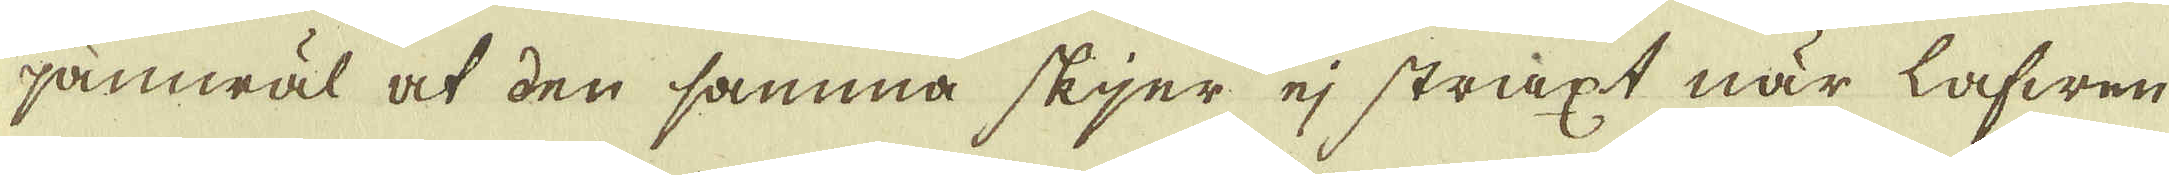jämwäl at den samma skjer ej straxt när lafwen
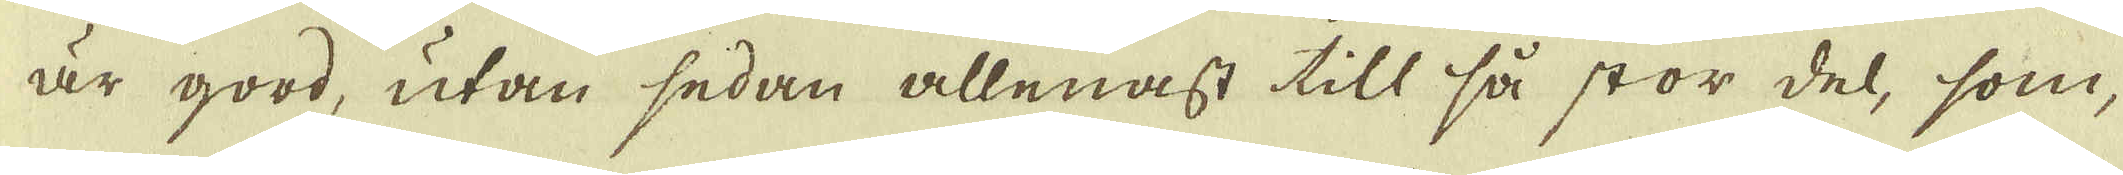är good, utan sedan allenast till så stor del, som,
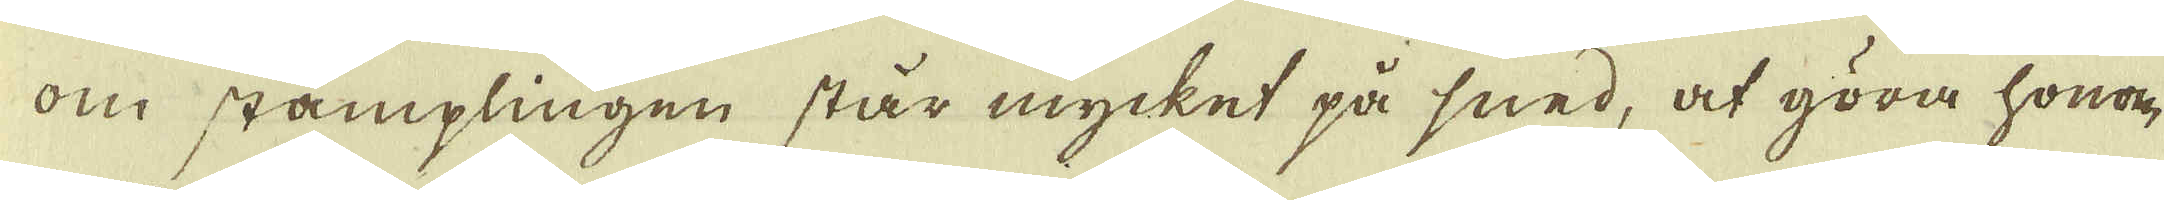om stamplingen står mycket på sned, at göra honom
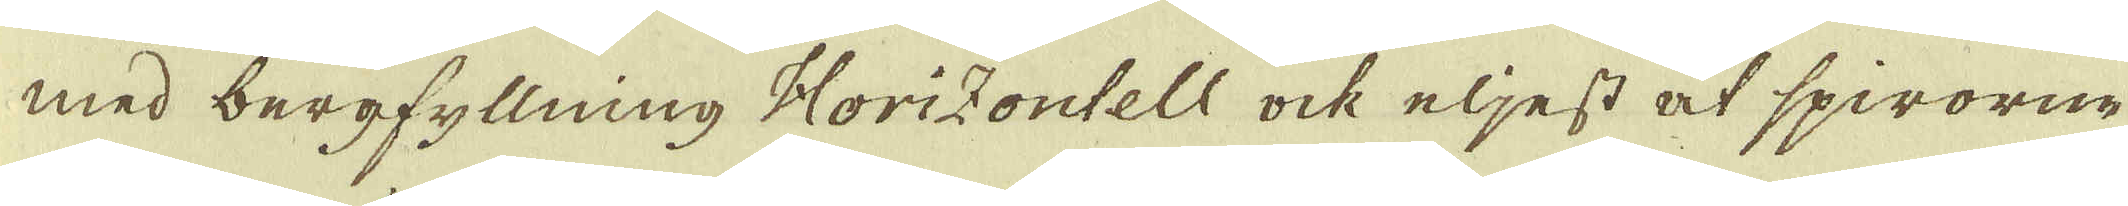med bergfyllning Horizontell ock eljest at spirorne
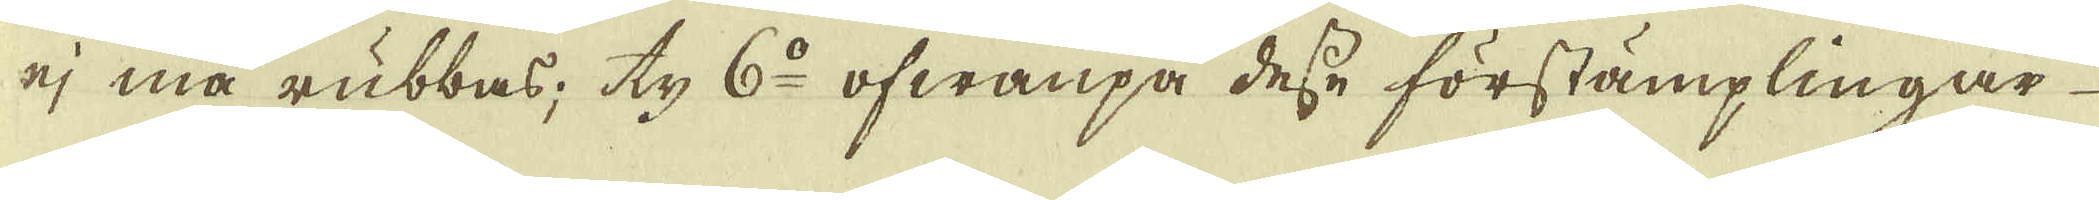ej må rubbas; ty 6:o ofwanpå desse förstämplingar
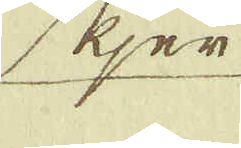skjer
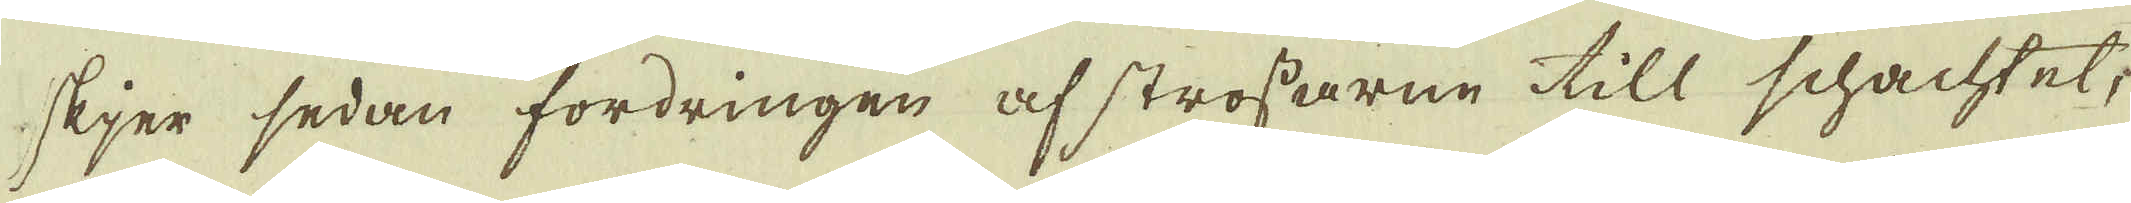skjer sedan fordringen af strossarne till schachtet,
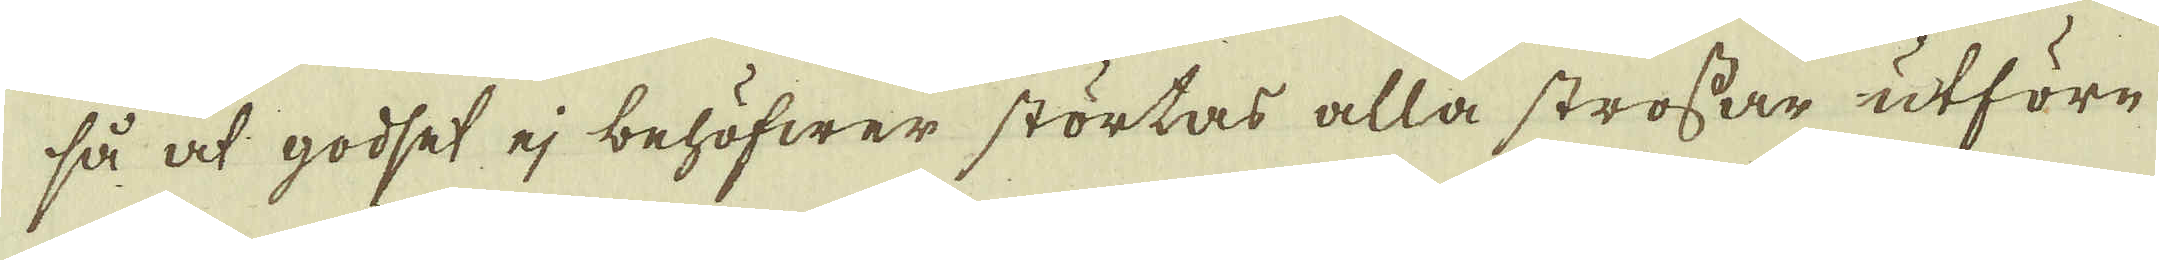så at godset ej behöfwer störtas alla strossar utföre
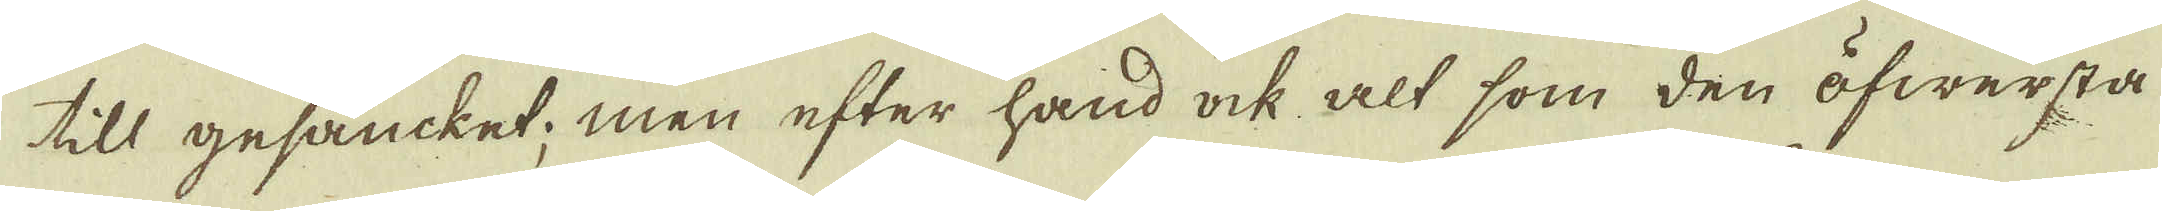till gesäncket; men efter hand ock alt som den öfwersta
